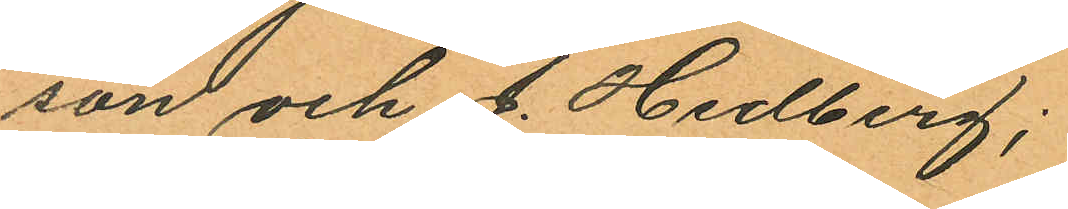son och J. Hedberg;
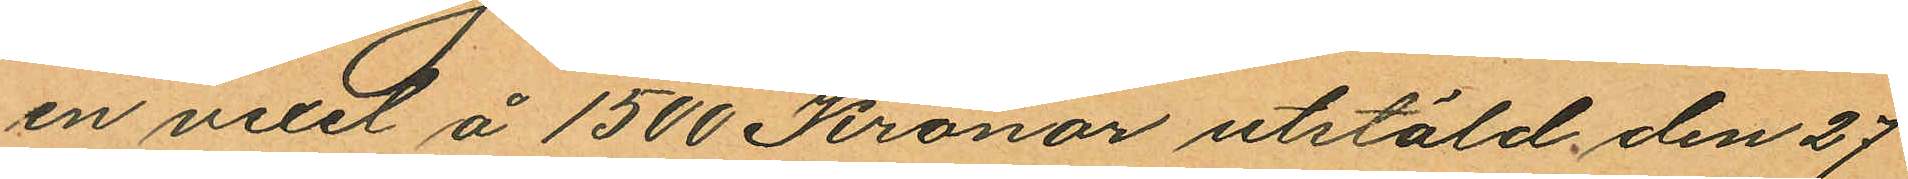en vexel å 1500 Kronor utstäld den 27
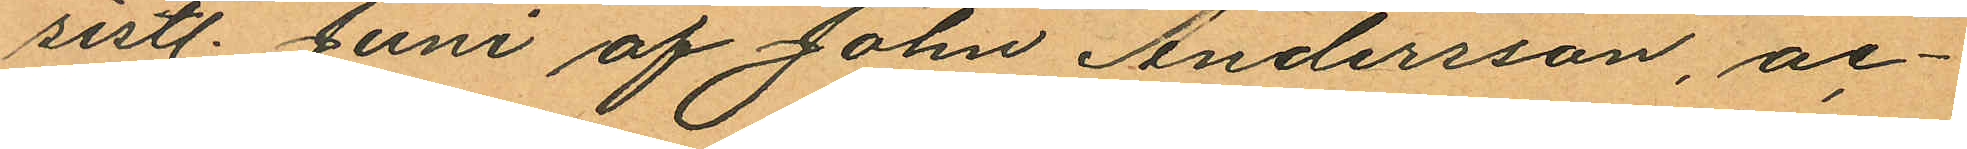sistl. Juni af John Andersson, ac¬
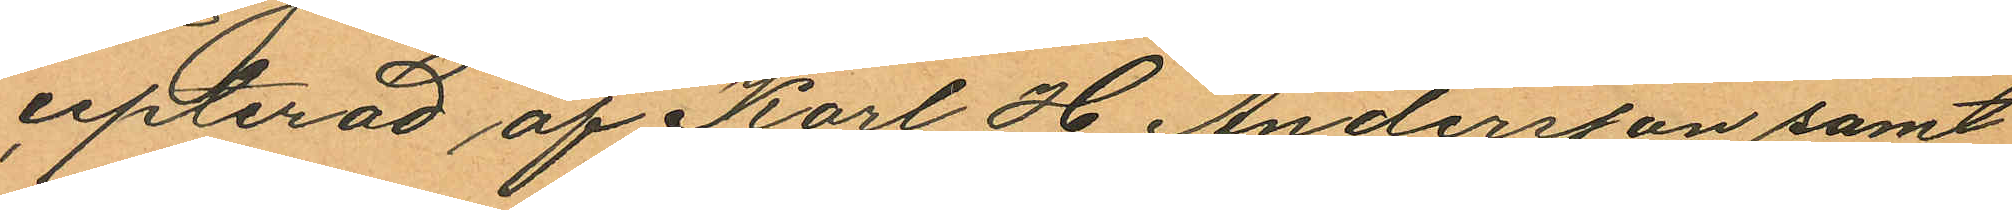cepterad af Karl H Andersson samt
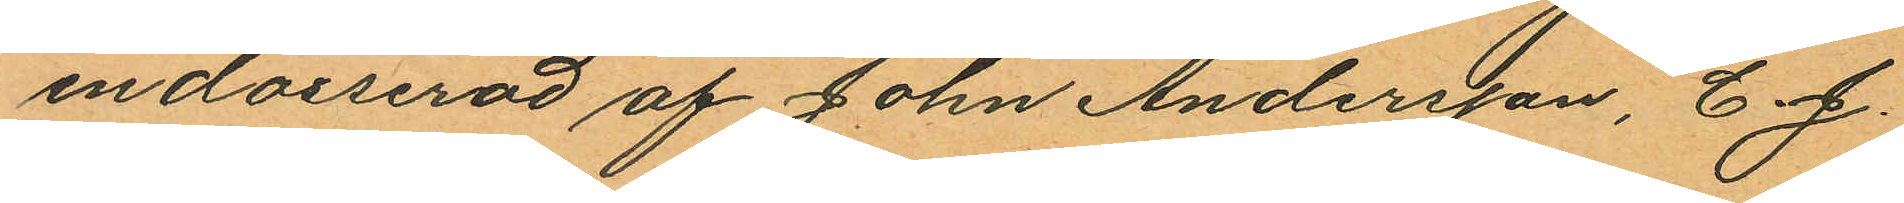endosserad af John Andersson, C. J.
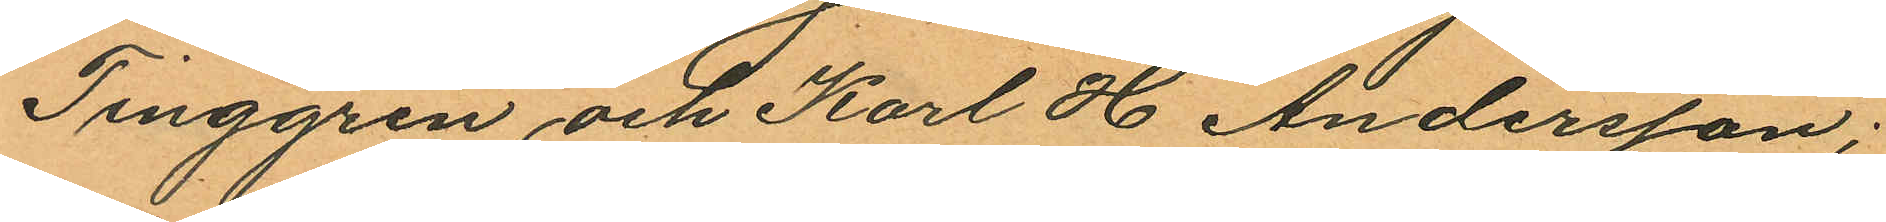Tinggren och Karl H Andersson;
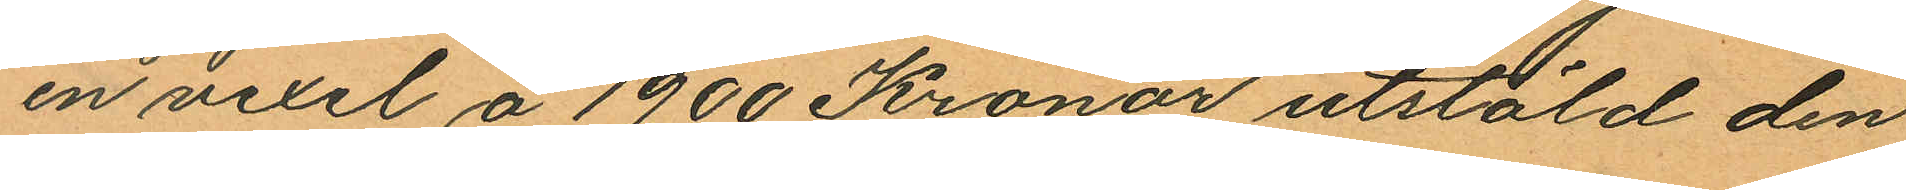en vexel å 1900 Kronor utstäld den
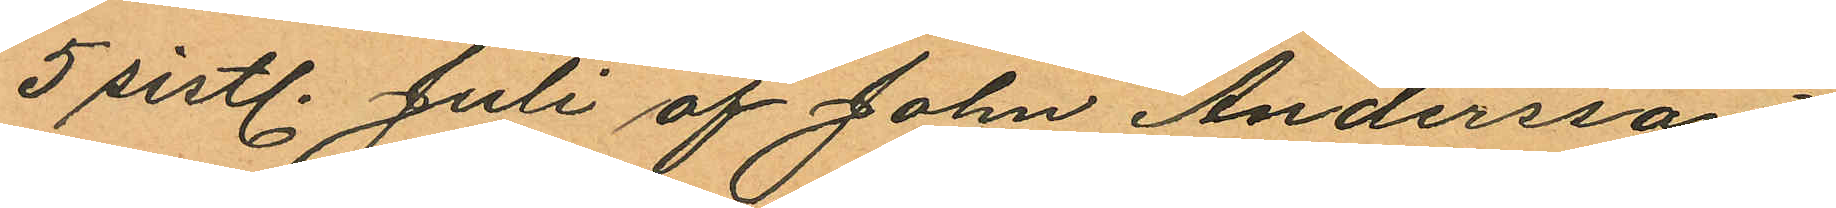5 sistl. Juli af John Andersson,
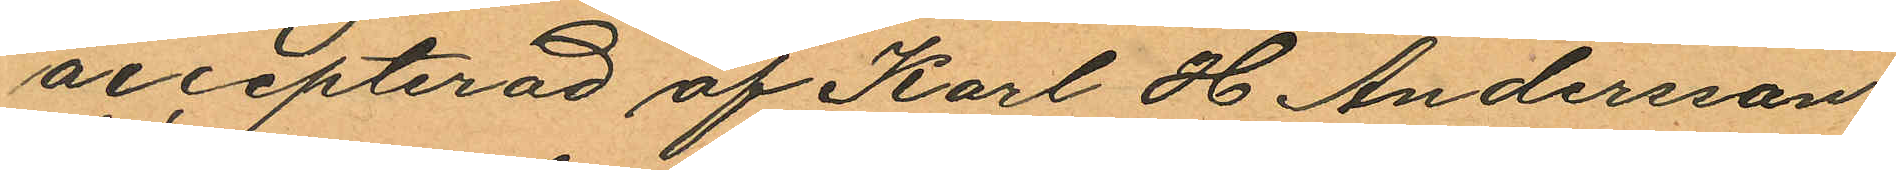accepterad af Karl H Andersson
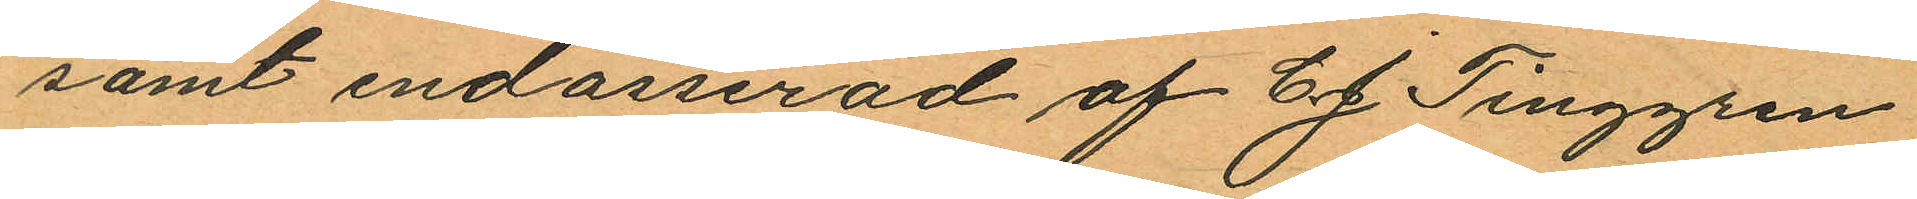samt endosserad af C. J Tinggren
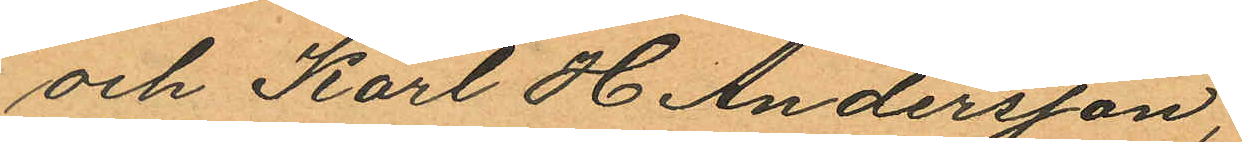och Karl H Andersson;
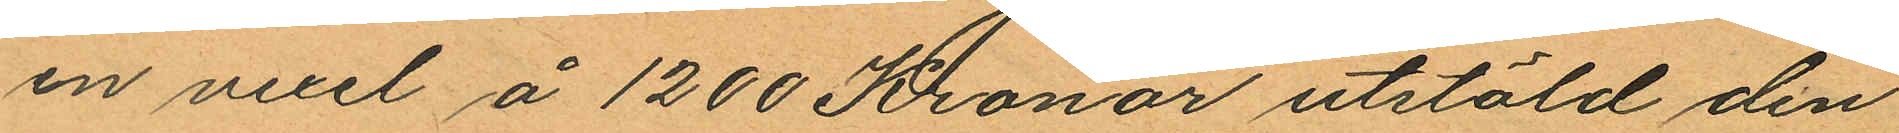en vexel å 1200 Kronor utstäld den
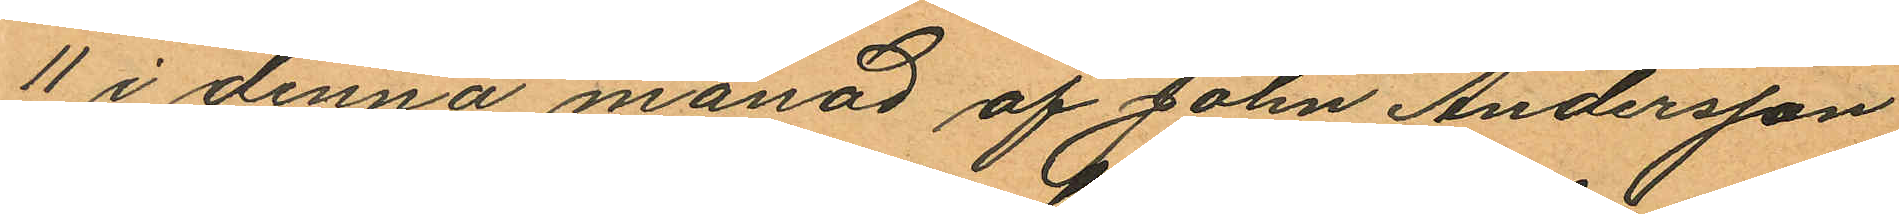11 i denna månad af John Andersson
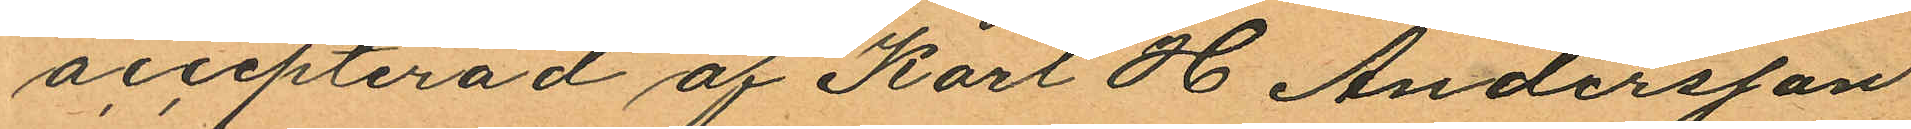accepterad af Karl H Andersson
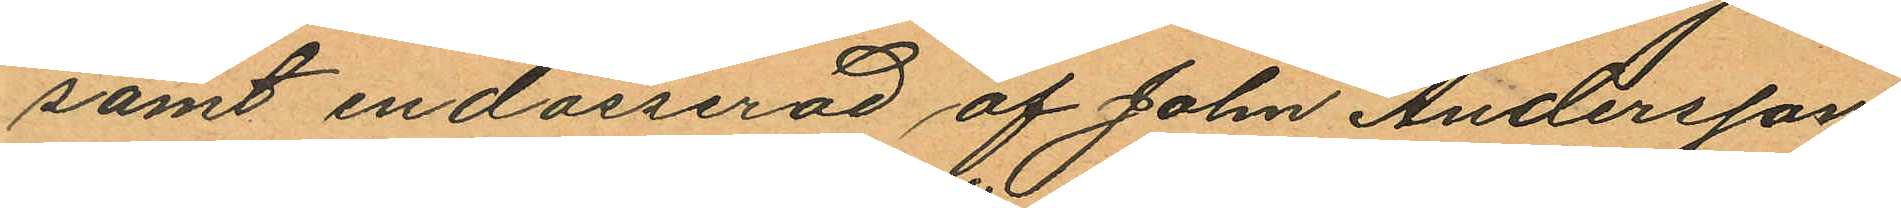samt endosserad af John Andersson
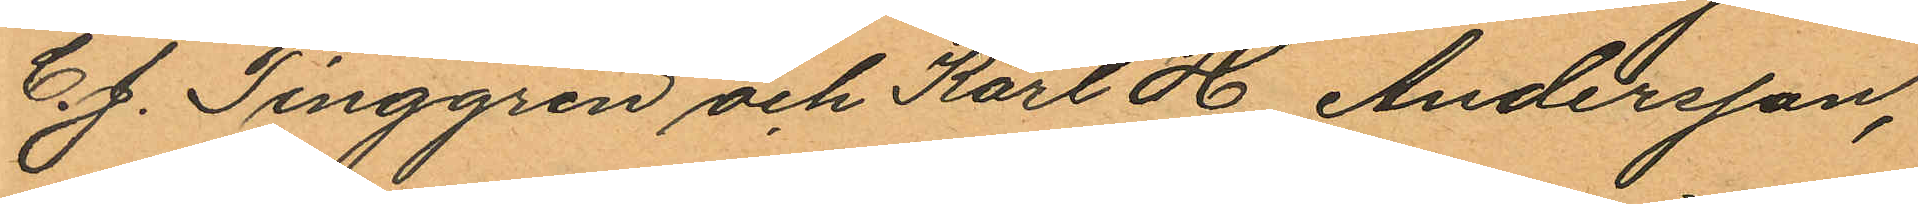C. J. Tinggren och Karl H Andersson,
